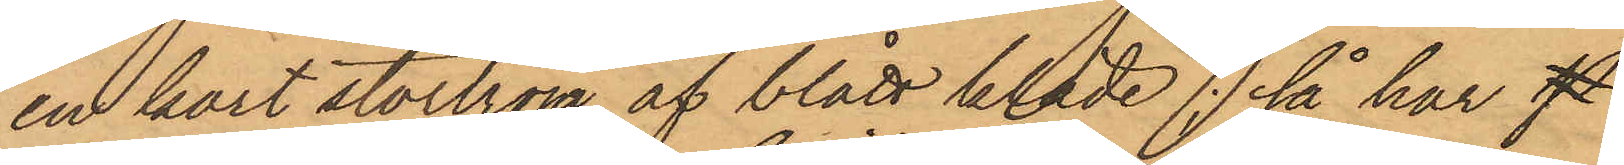en kort stortröja af blått kläde; så har f
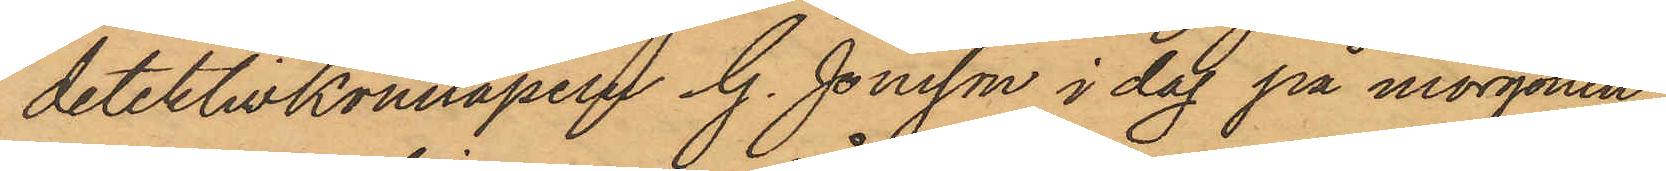detektivkonstapeln G. Jönsson i dag på morgonen
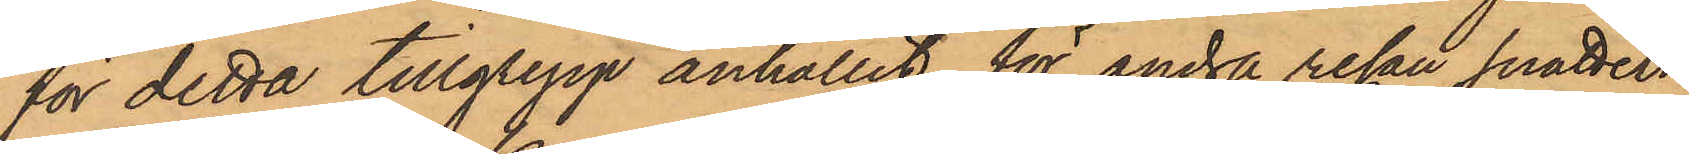för detta tillgrepp anhållit för andra resan snatteri
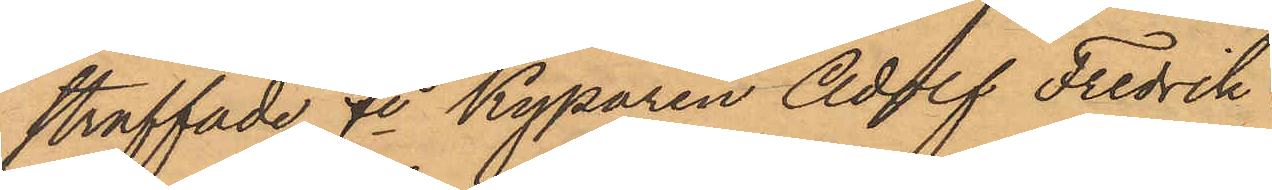straffade fe Kyparen Adolf Fredrik Eriksson,
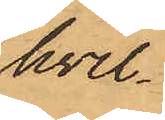hvil¬
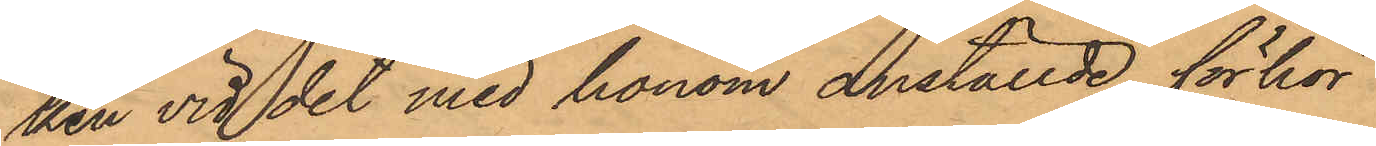ken vid det med honom anställde förhör
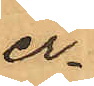er¬
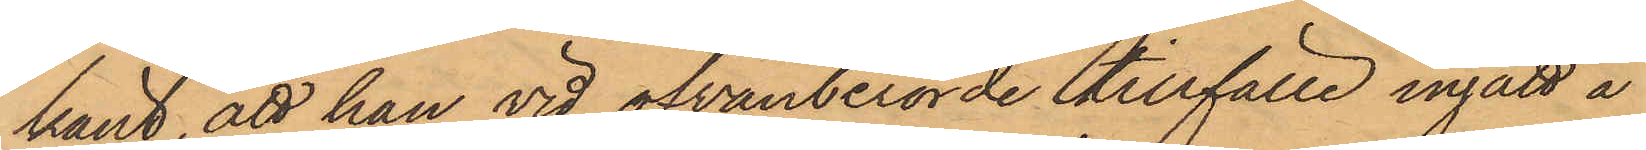känt, att han vid ofvanberörde tillfälle ingått å
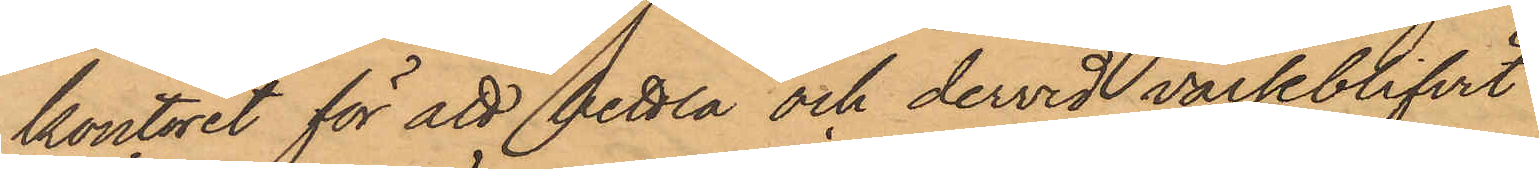kontoret för att bettla och dervid varseblifvit
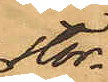stor¬
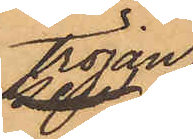tröjan,
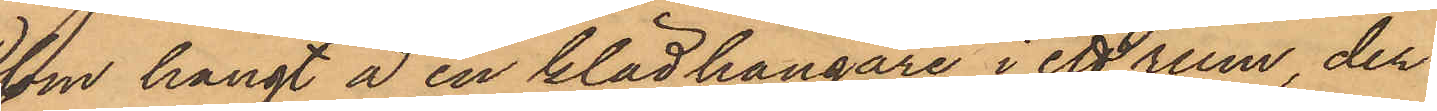som hängt å en klädhängare i ett rum, der
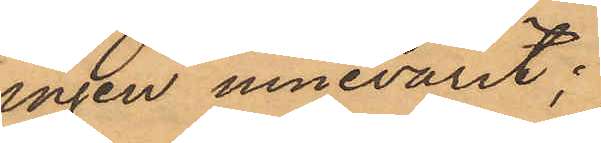ingen innevarit;
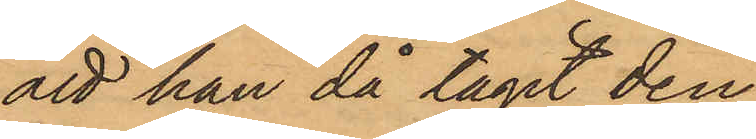att han då tagit den¬
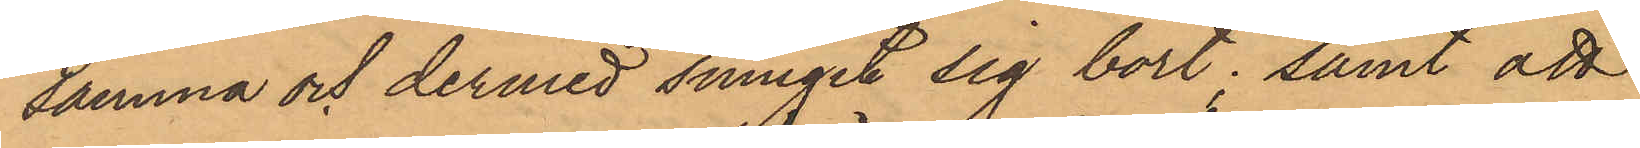samma och dermed smugit sig bort; samt att
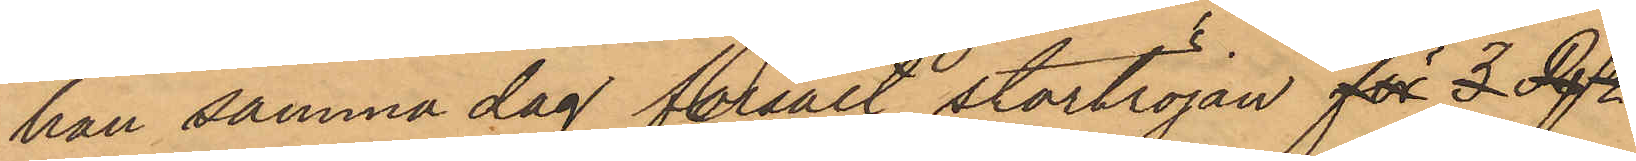han samma dag försålt stortröjan för 3 Rs
